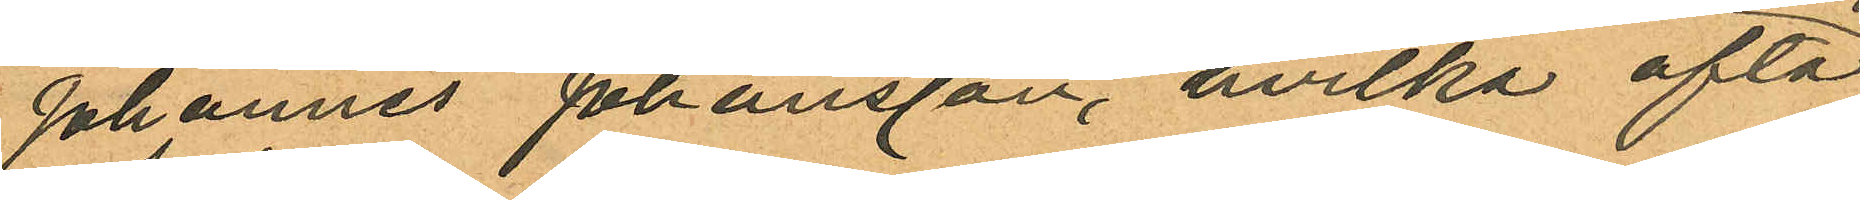Johannes Johansson, hvilka ofta
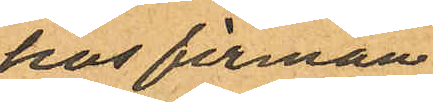hos firman
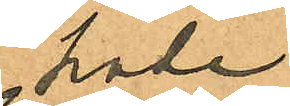hade
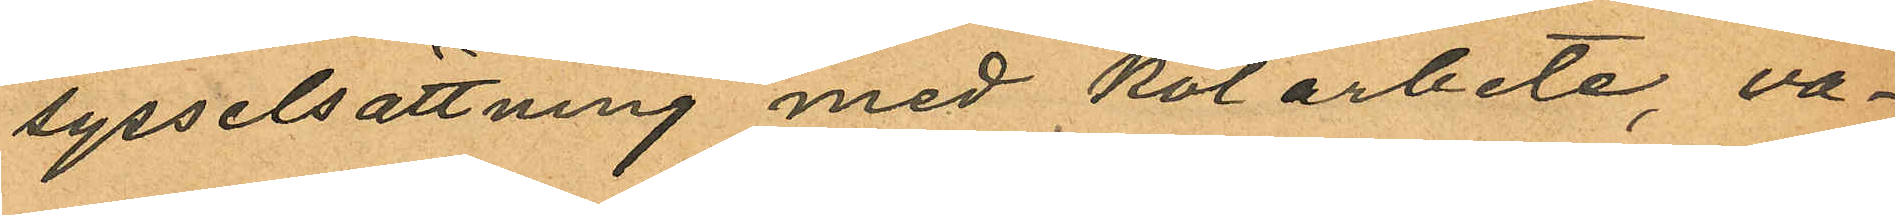sysselsättning med kolarbete, va¬
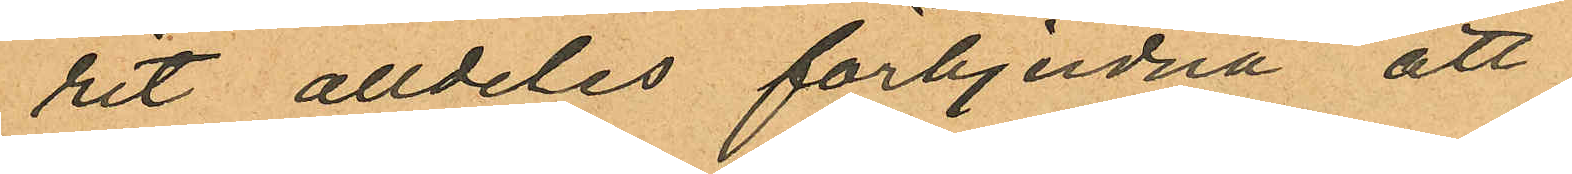rit alldeles förbjudna att
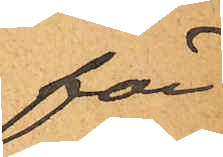för
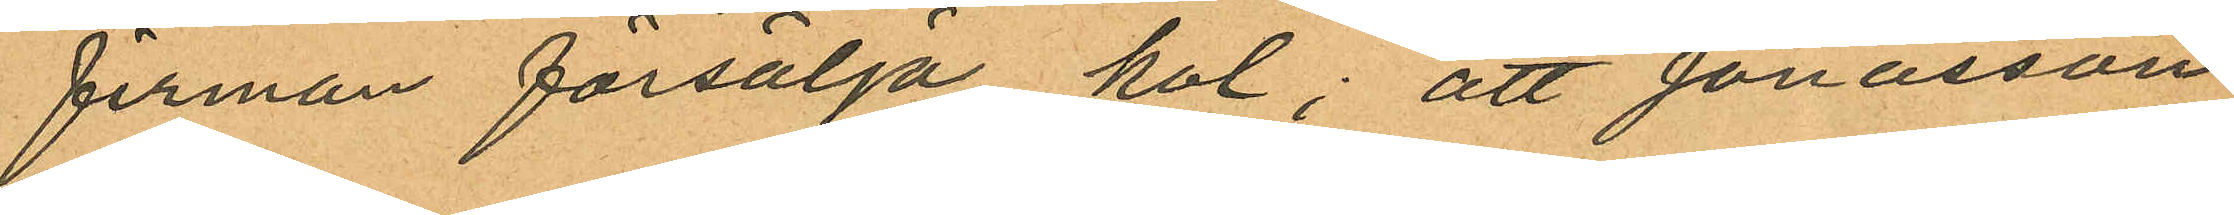firman försälja kol; att Jonasson
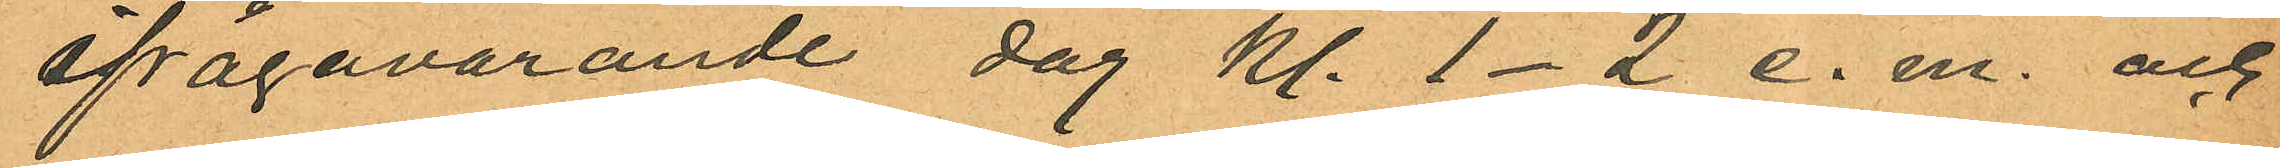ifrågavarande dag kl. 1-2 e. m. och
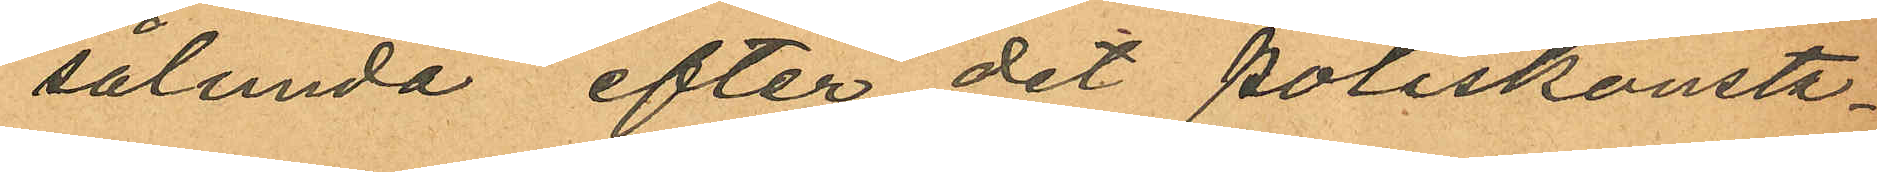sålunda efter det poliskonsta¬
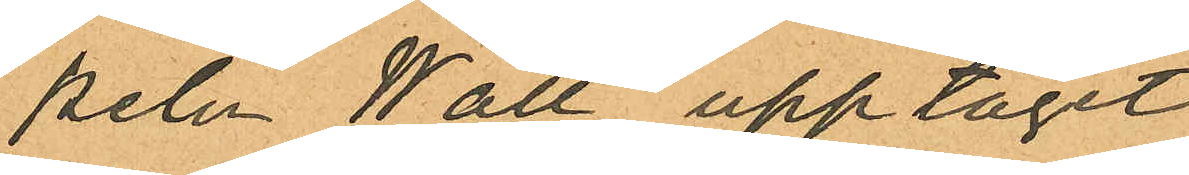peln Wall upptagit
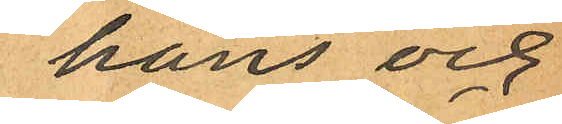hans och
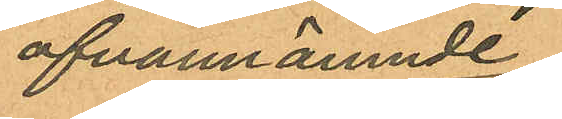ofvannämnde
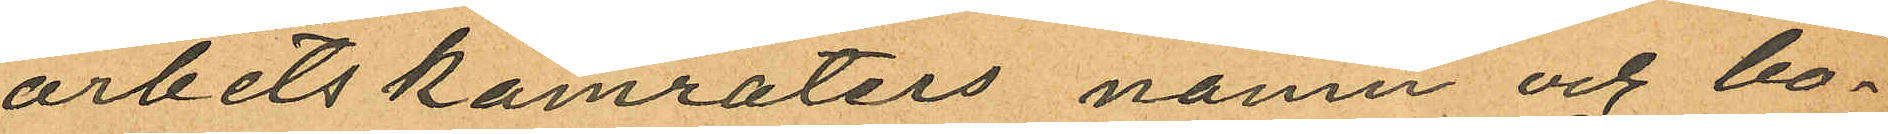arbetskamraters namn och bo¬
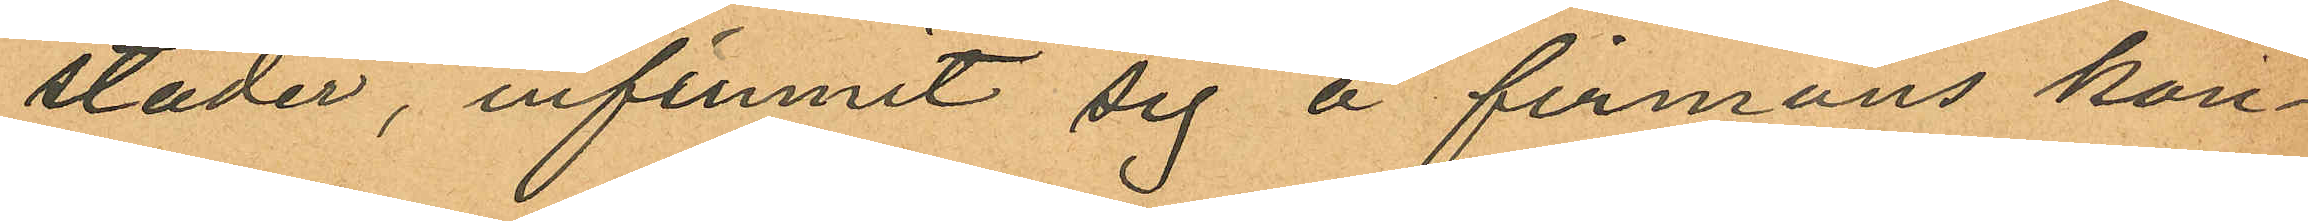städer, infunnit sig å firmans kon¬
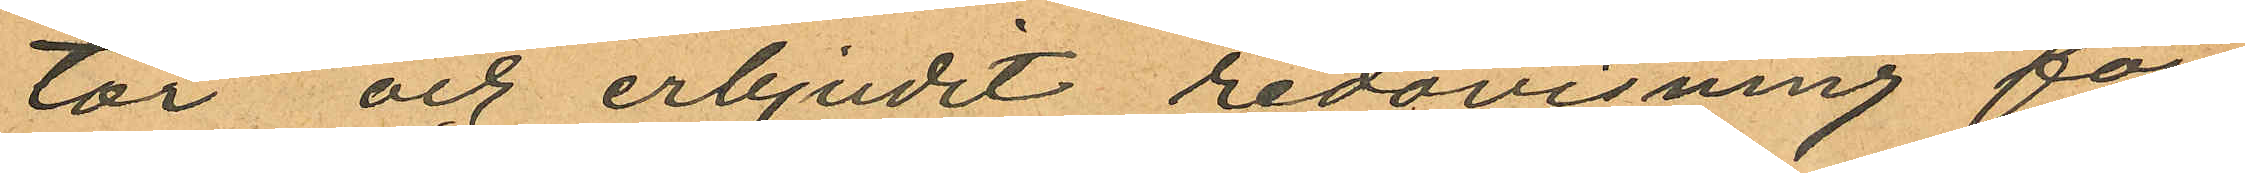tor och erbjudit redovisning för
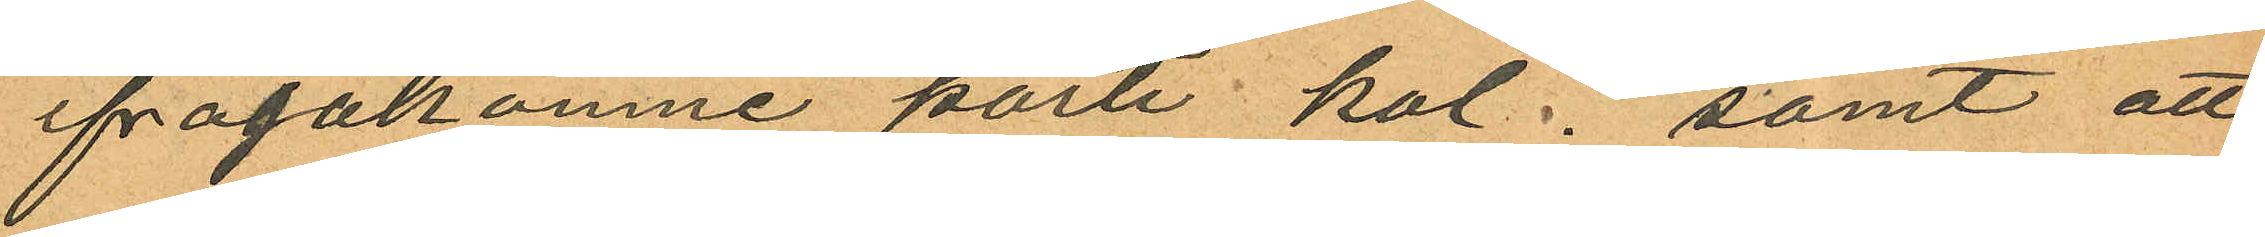ifrågakomne parti kol; samt att
